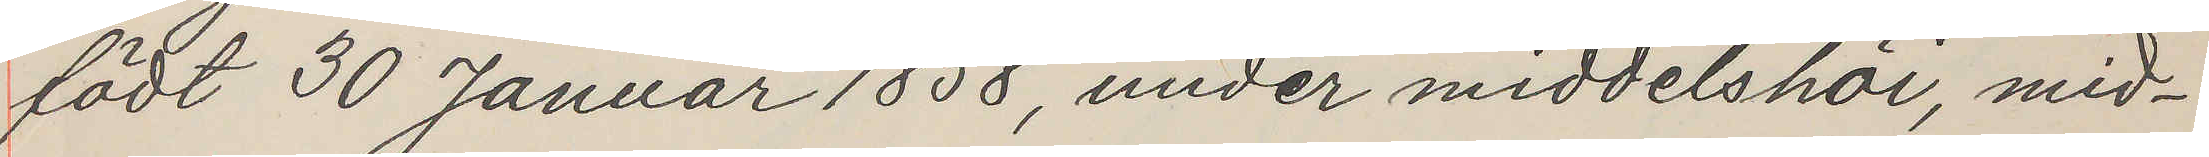födt 30 Januar 1858, under middelshöi, mid¬
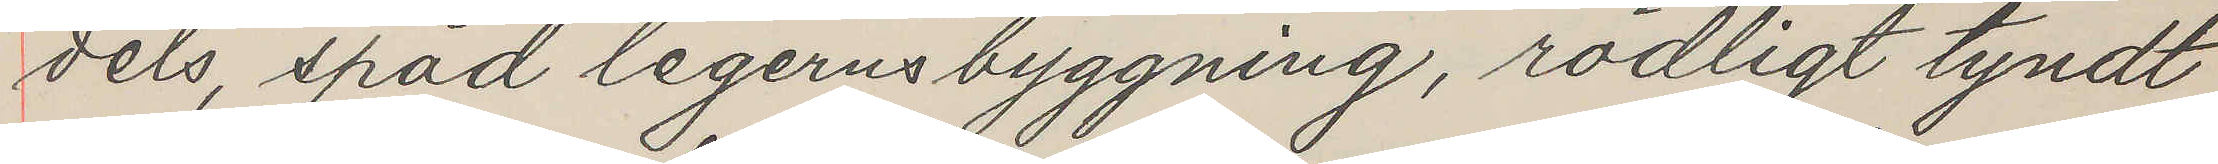dels, späd legerusbyggning, rödligt tyndt
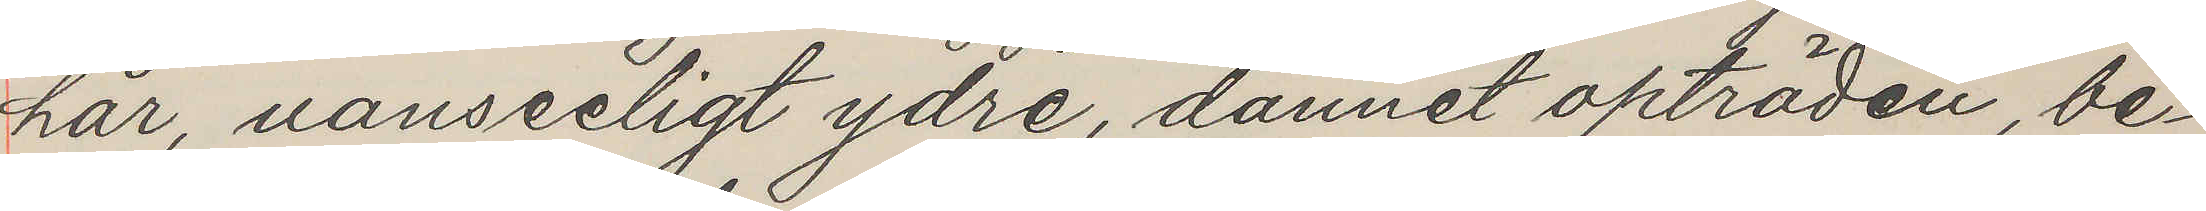hår, uanseeligt ydre, dannet opträden, be¬
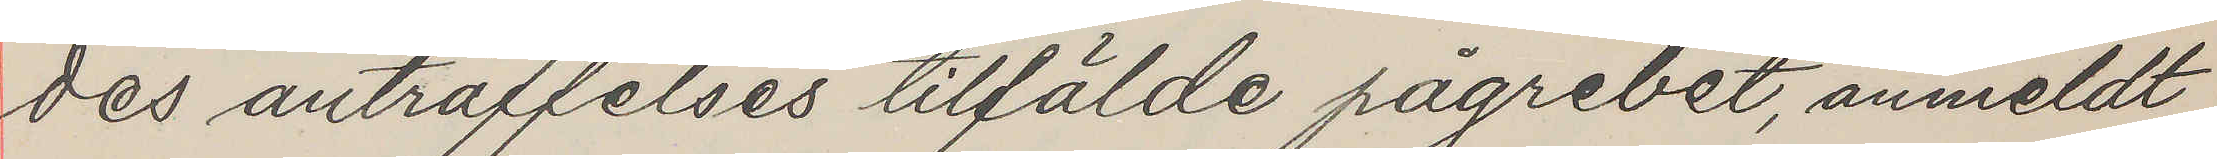des anträffelses tilfälde pågrebet, anmeldt
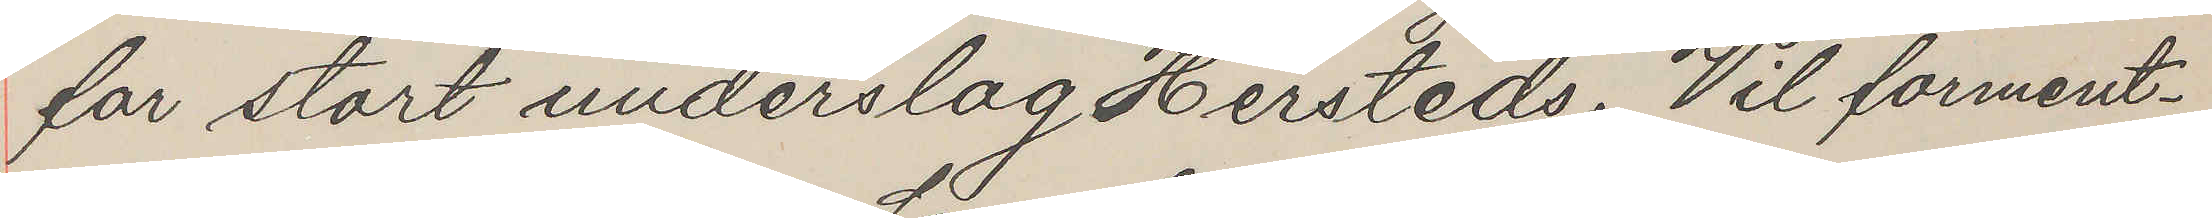for stort underslag Hersteds. Vil forment¬
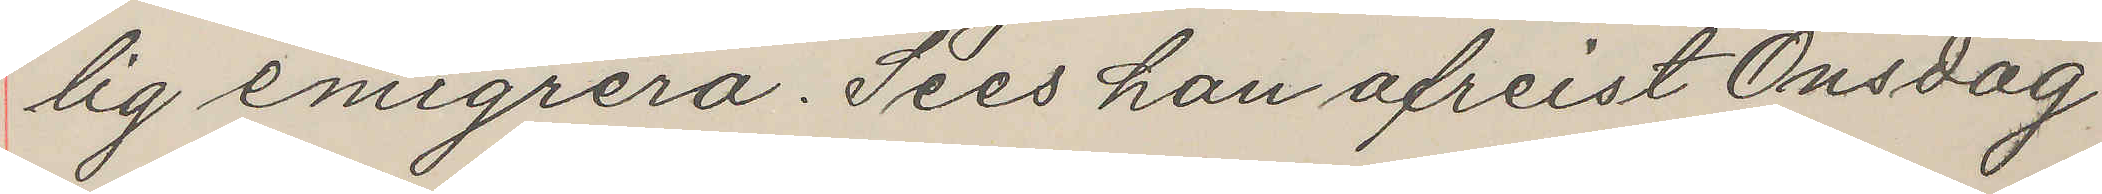lig emigrera. Sees han afreist Onsdag
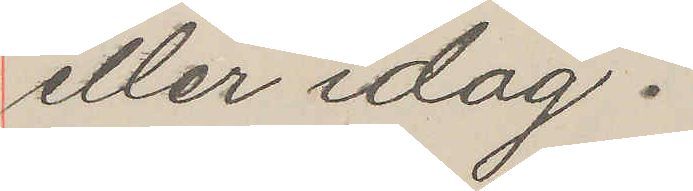eller idag?
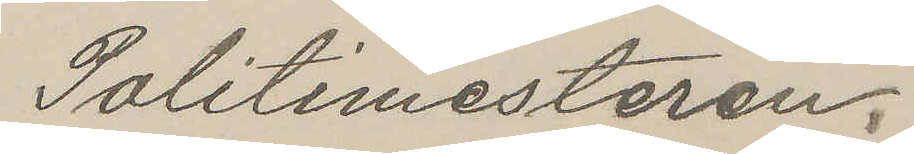Politimesteren.
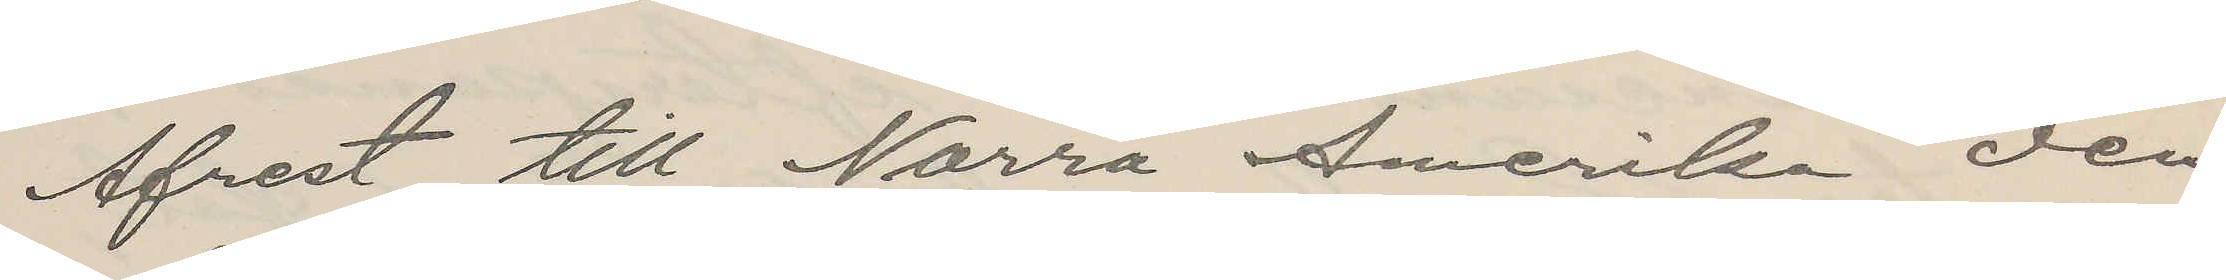Afrest till Norra Amerika den
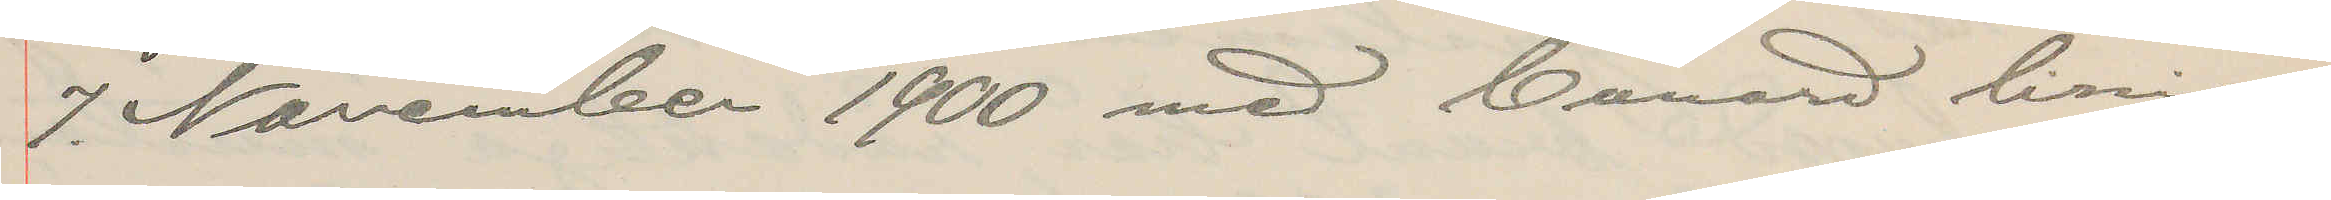7. November 1900 med Cunard linien.
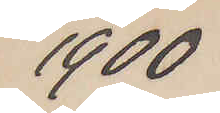1900
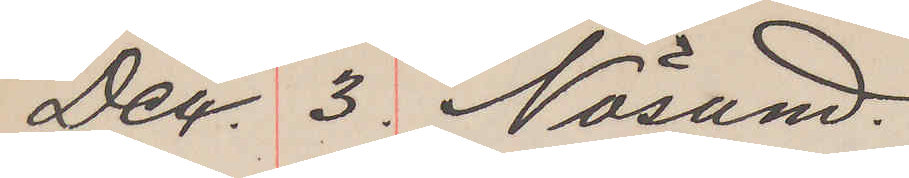Dec 3. Nösund
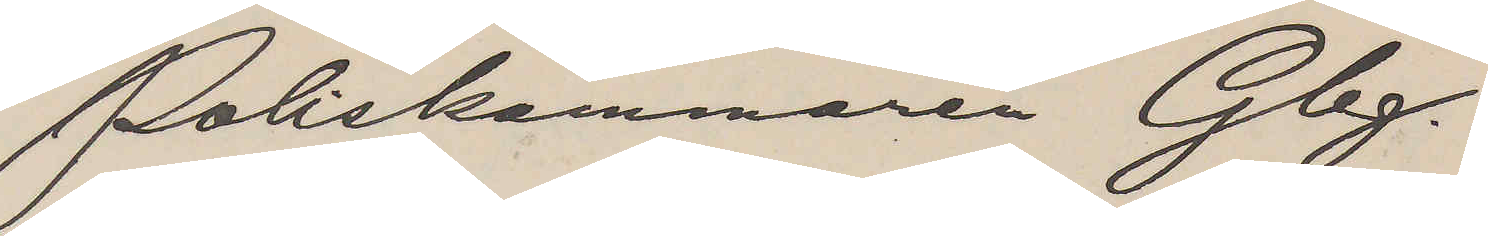Poliskammaren Gbg.
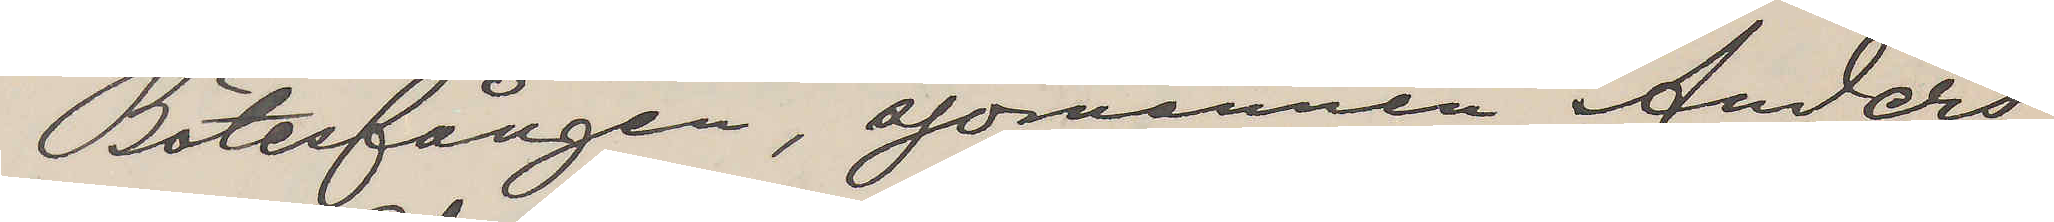Bötesfången, sjömannen Anders
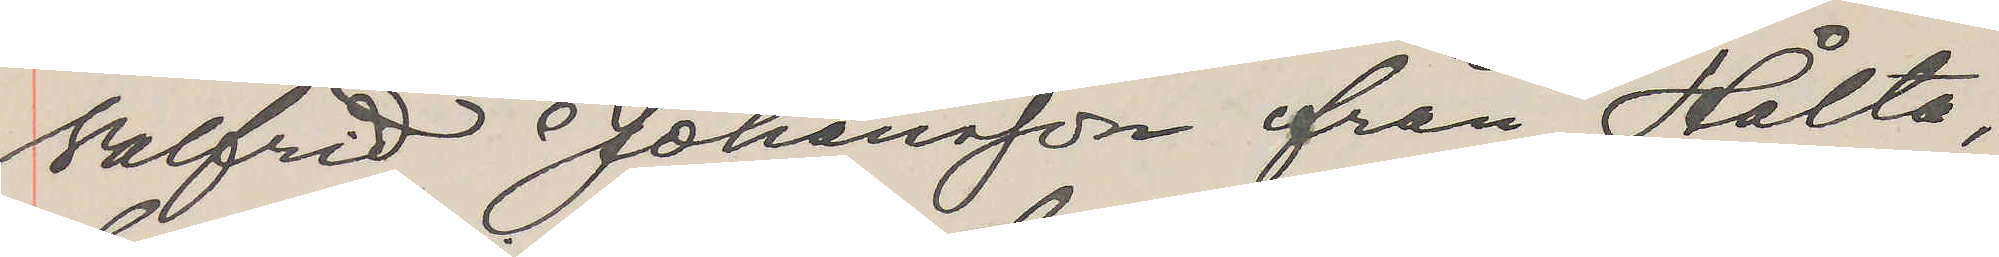Walfrid Johansson från Hålta,
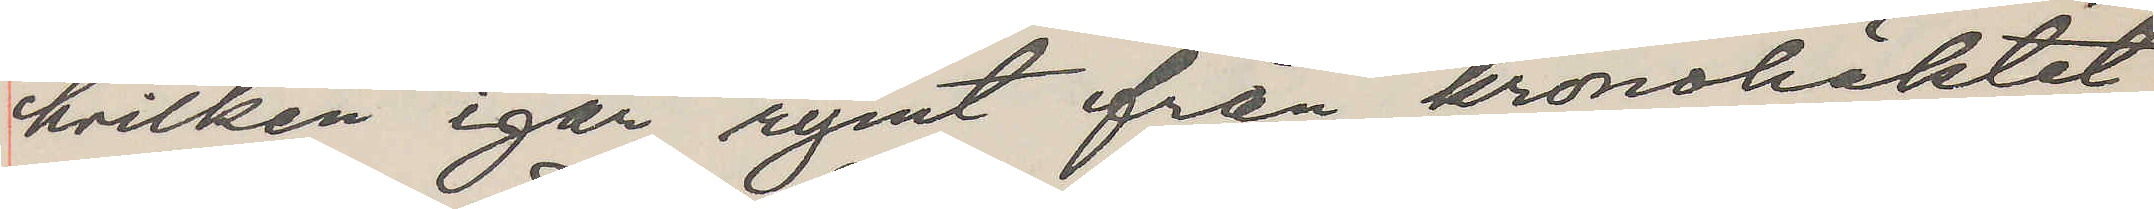hvilken igår rymt från kronohäktet
